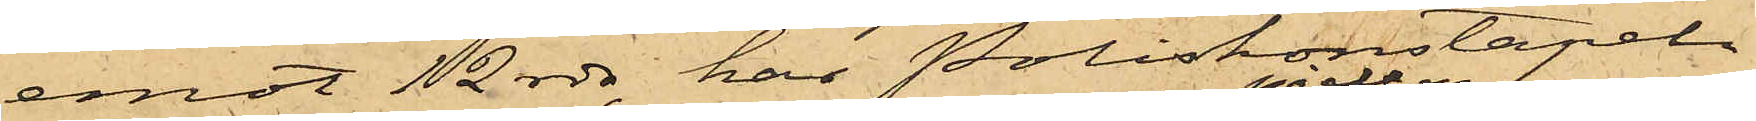emot 12 rdr, har Poliskonstapel
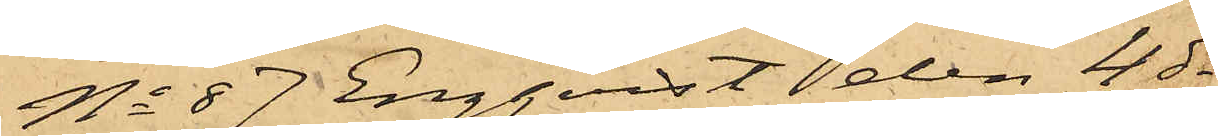No 87 Engqvist den 4 ds
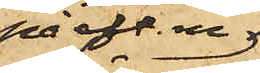på eft. m.
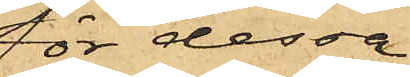för dessa
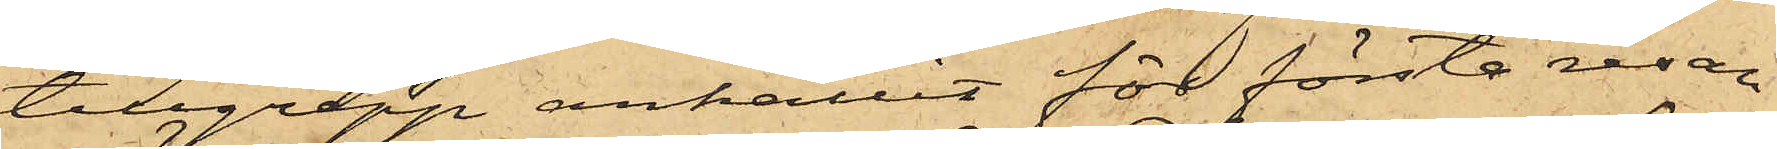tillgrepp anhållit för första resan
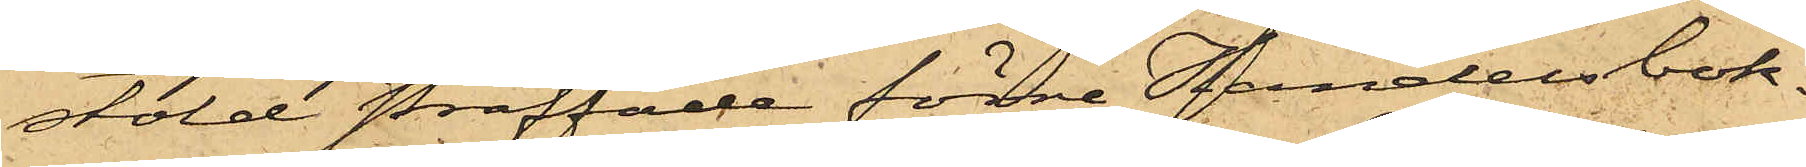stöld straffade förre Handelsbok¬
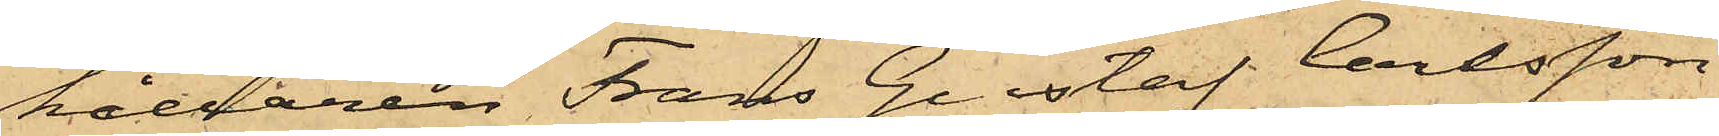hållaren Frans Gustaf Carlsson,
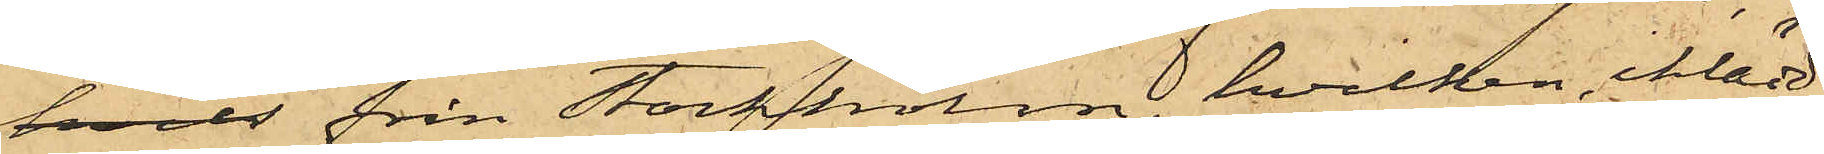hvil från Stockholm, hvilken iklädd
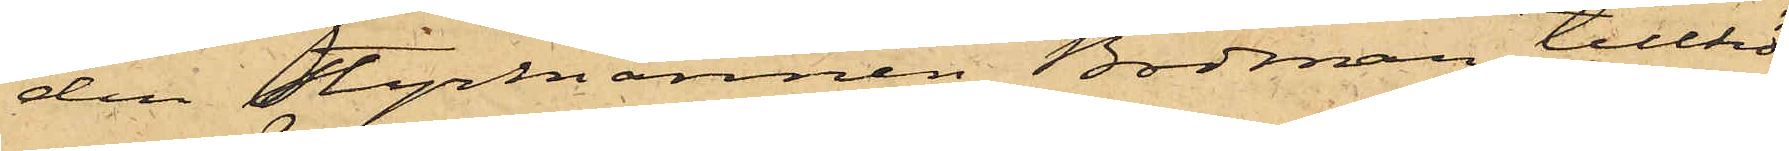den Styrmannen Bodman tillhö¬
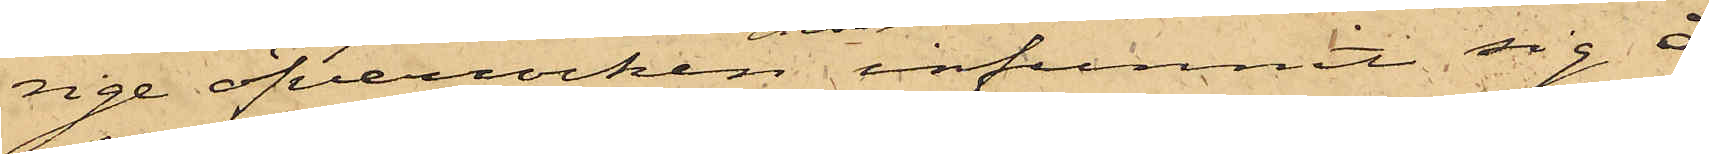rige öfverrocken infunnit sig å
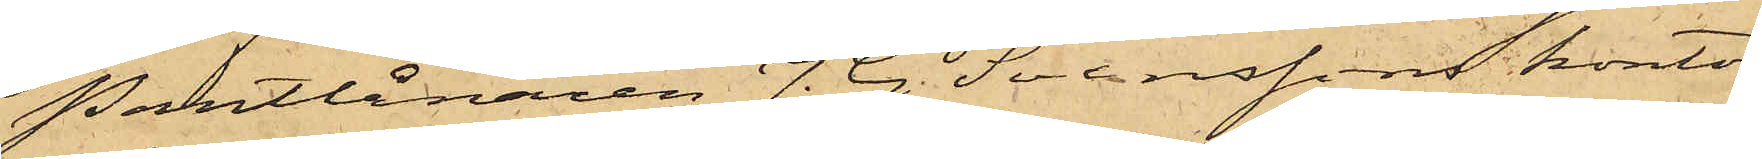Pantlånaren J. G. Svenssons kontor
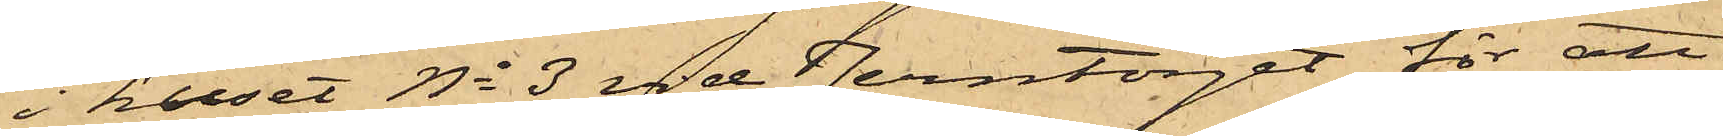i huset No 3 vid Jerntorget för att
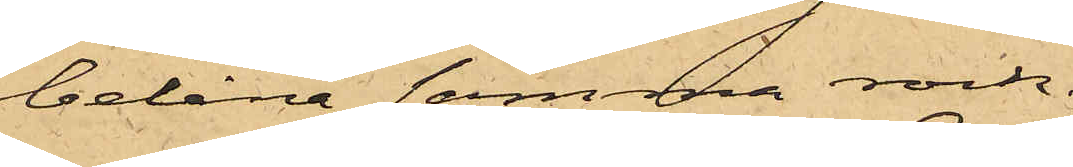belåna samma rock.
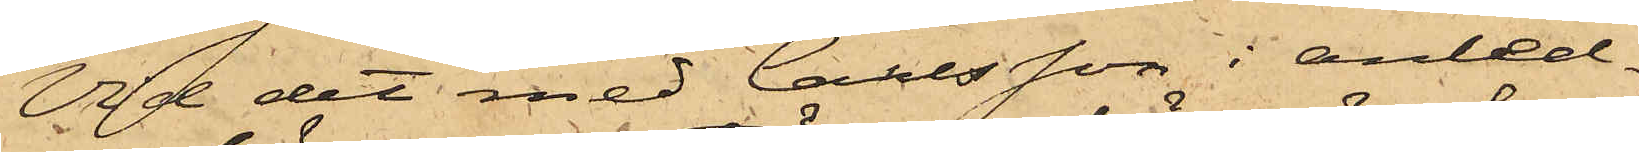Vid det med Carlsson i anled¬
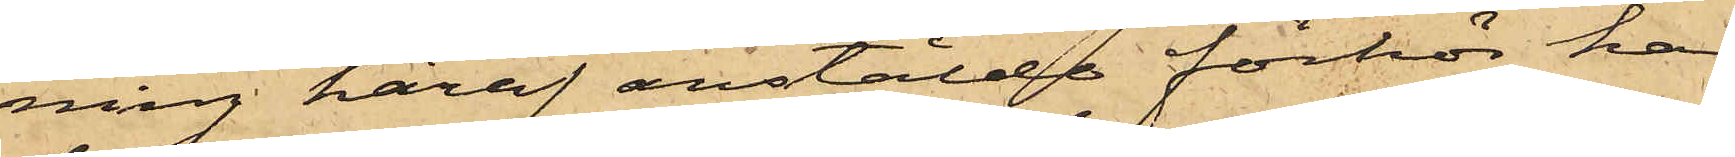ning häraf anstälde förhör han
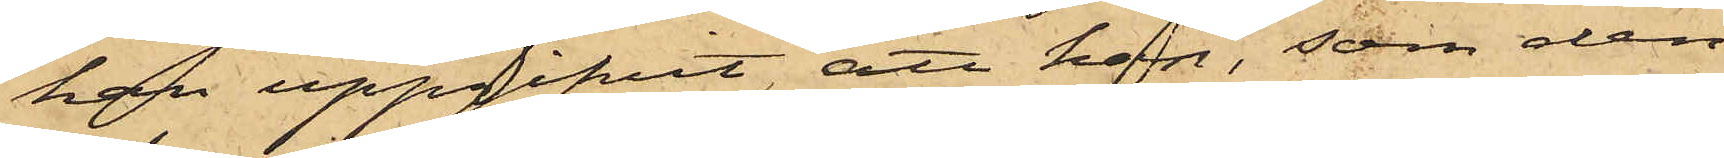han uppgifvit, att han, som den
